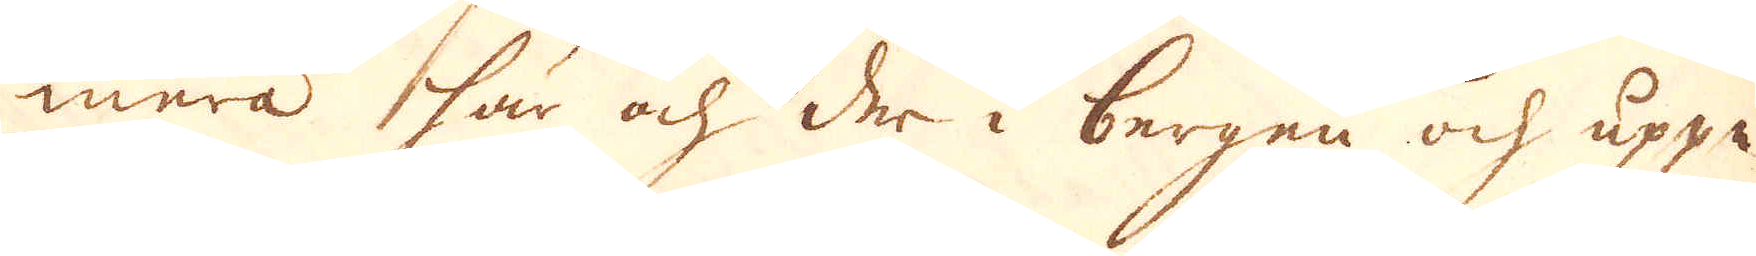mera här och der i bergen och uppe
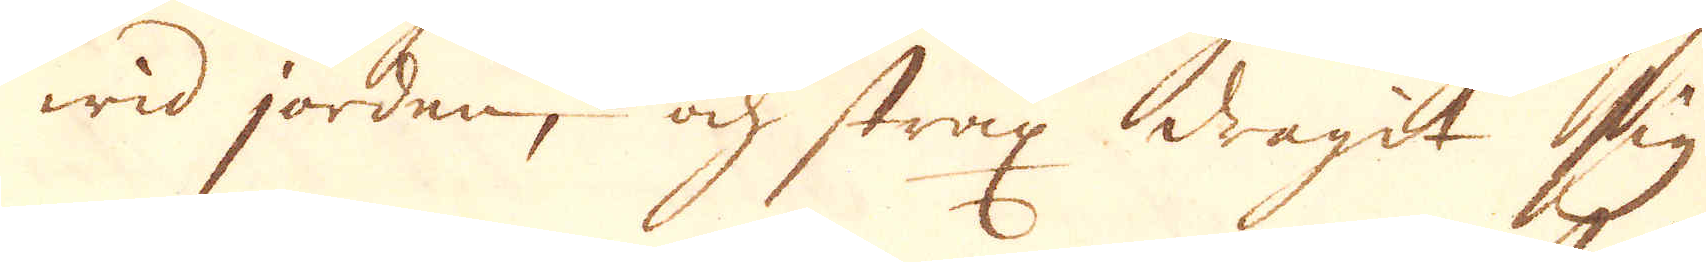wid jorden, och strax dragit sig
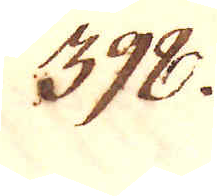398.
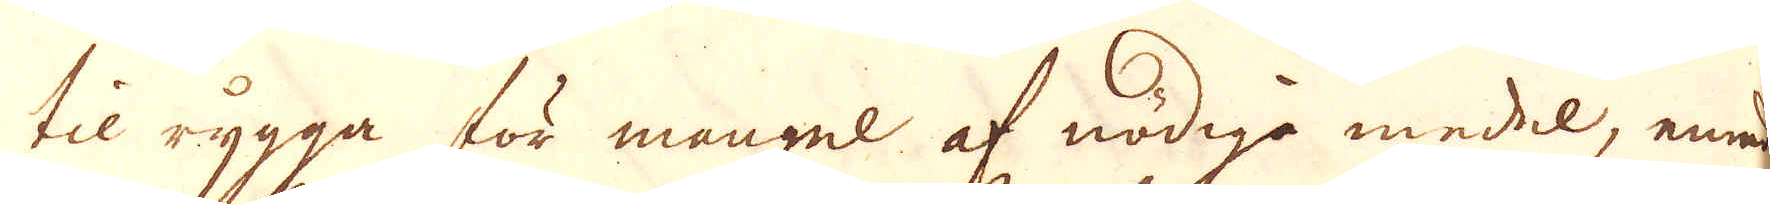til rygga för mangel af nödiga medel, emnade
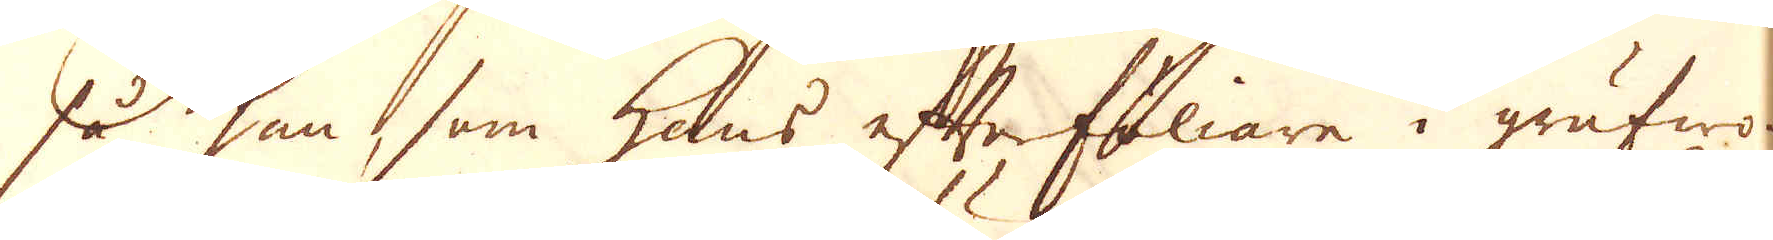så han, som hans efterföliare i grufwo-
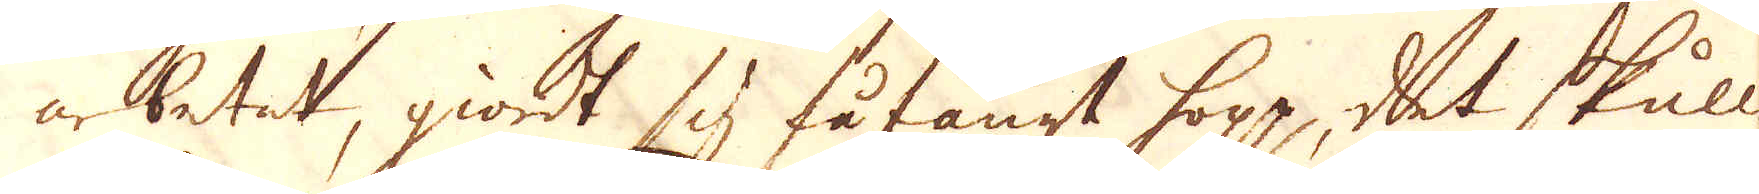arbetet, giordt sig fåfängt hopp, det skulle
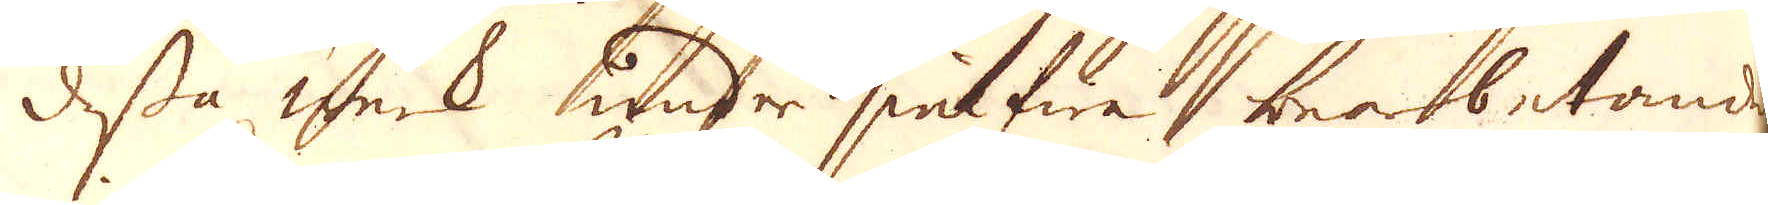dessa werk under sielfwa bearbetandet
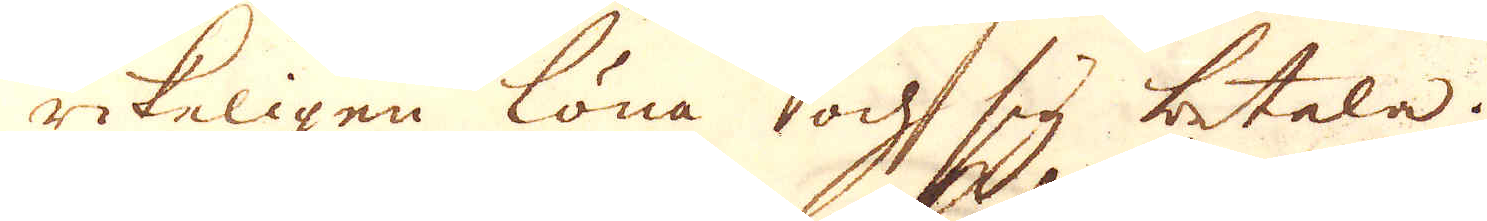rikeligen löna och sig betala.
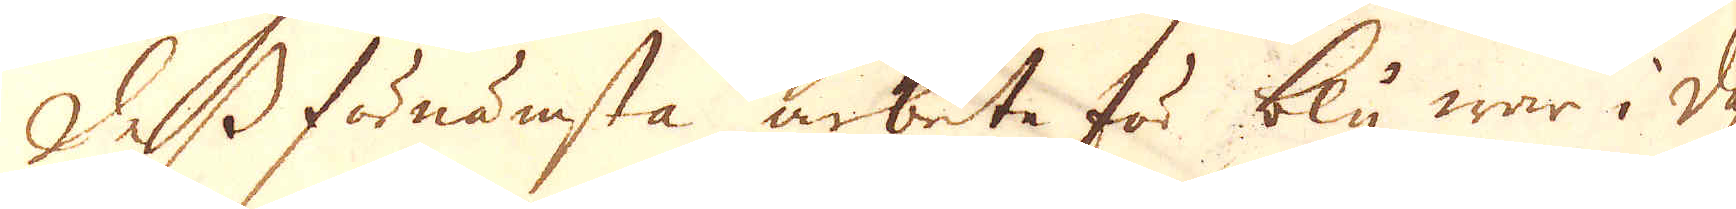Dess förnämsta arbete för bly war i dahlen
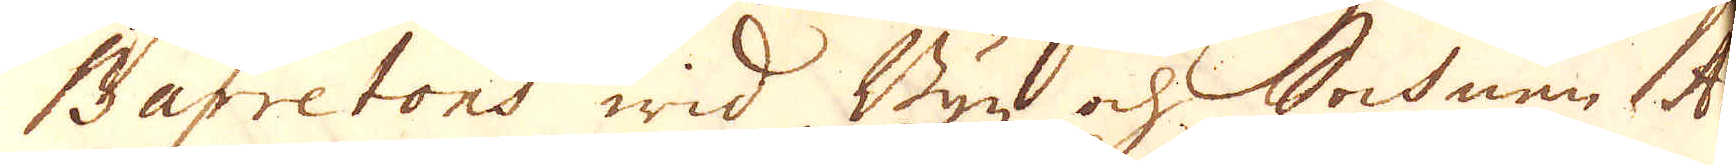Barretons wid Byn och Sochnen Ar
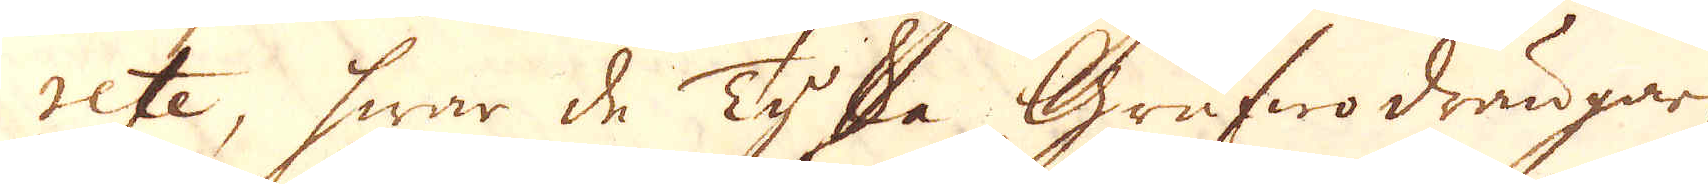rete, hwar de Tyska Grufwo drängar
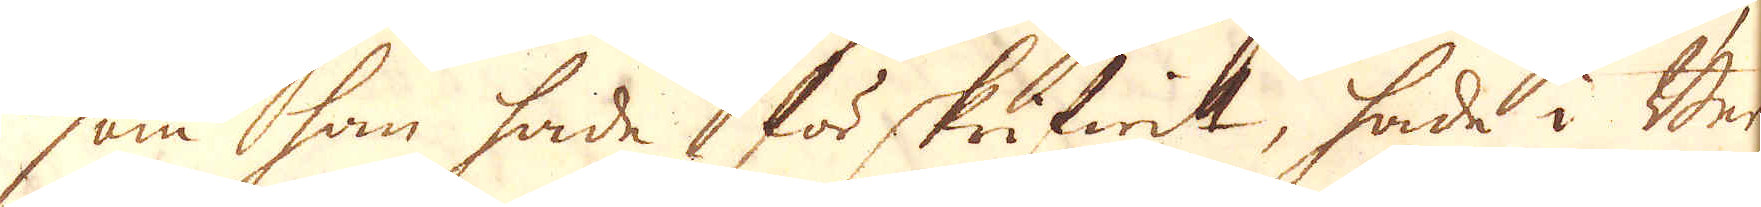som han hade förskrifwit, hade i Ber-
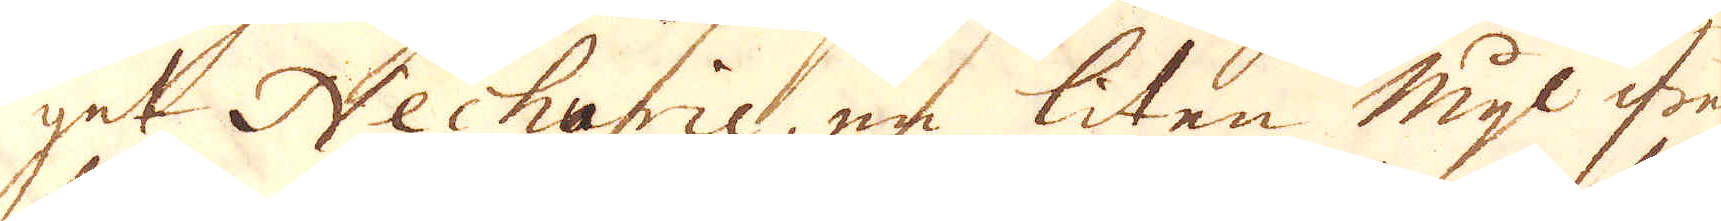get Nechurie, en liten mihl ifrån
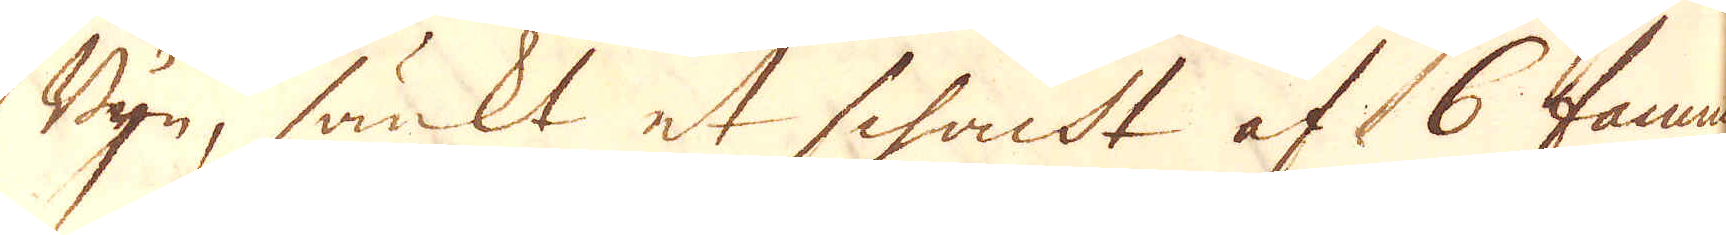Byn, sänkt et schacht af 6 famnar
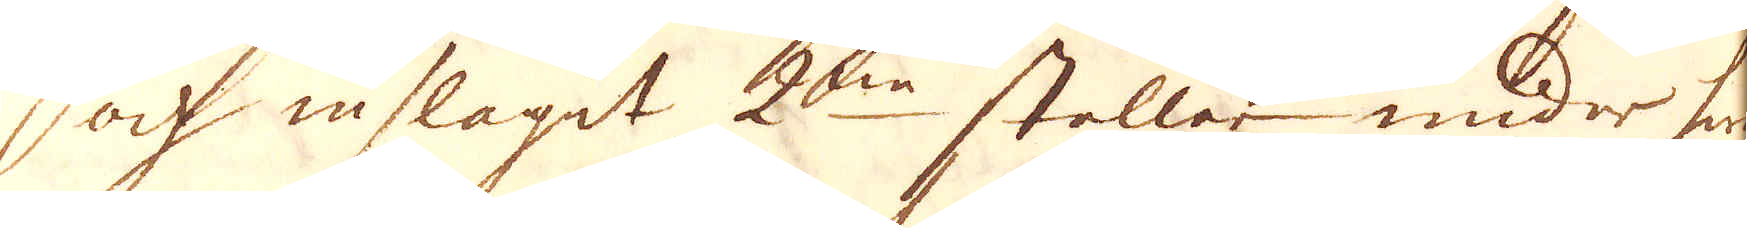och inslagit 2:e stollar under hwar 
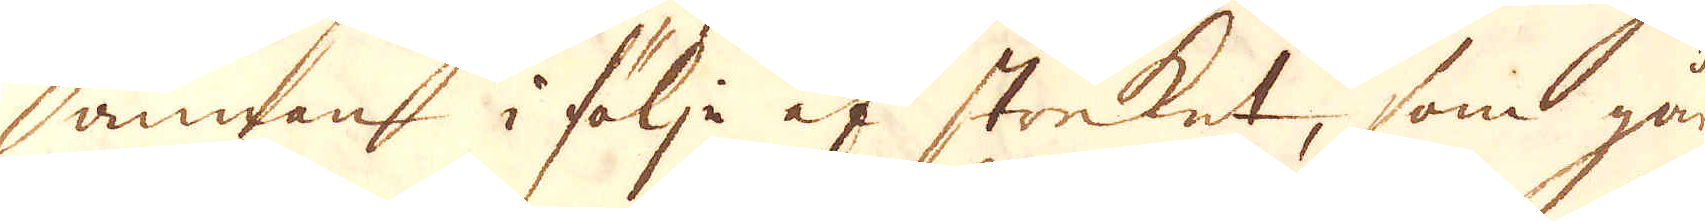annan i följe af streket, som går
